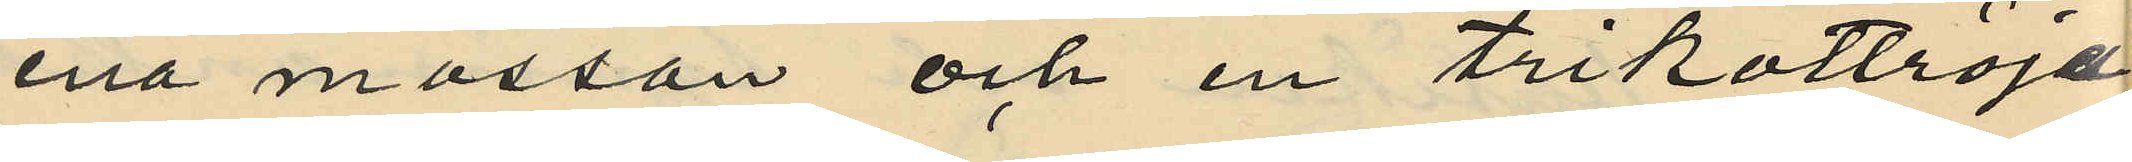ena mössan och en trikottröja
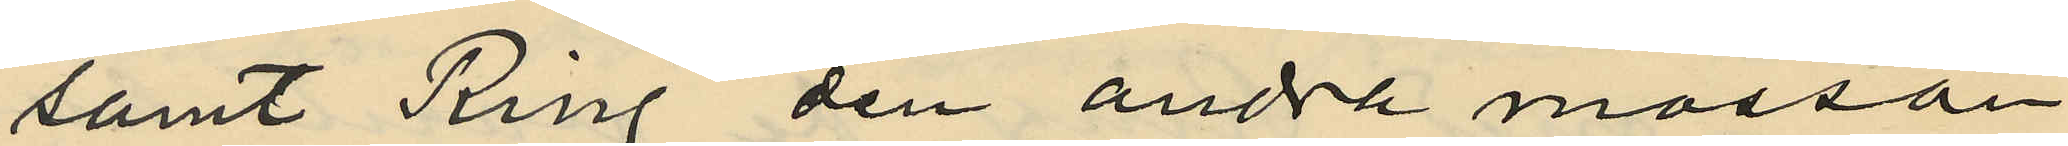samt Ring den andra mössan
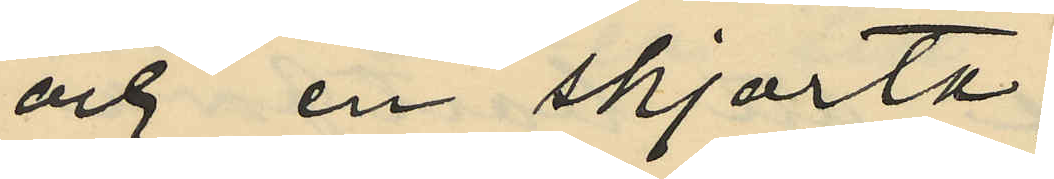och en skjorta;
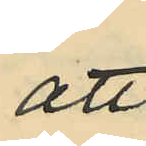att
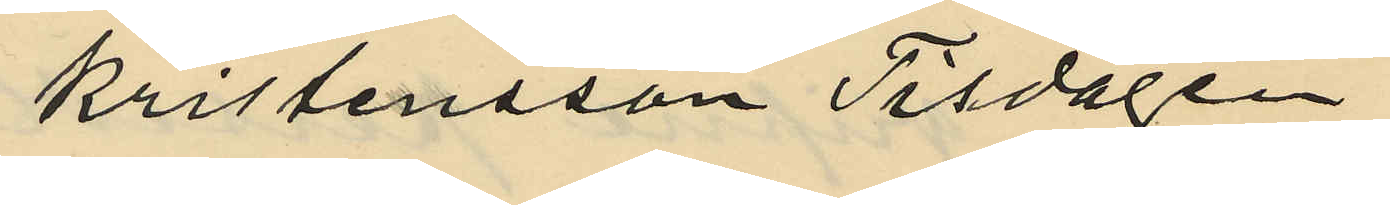Kristensson Tisdagen
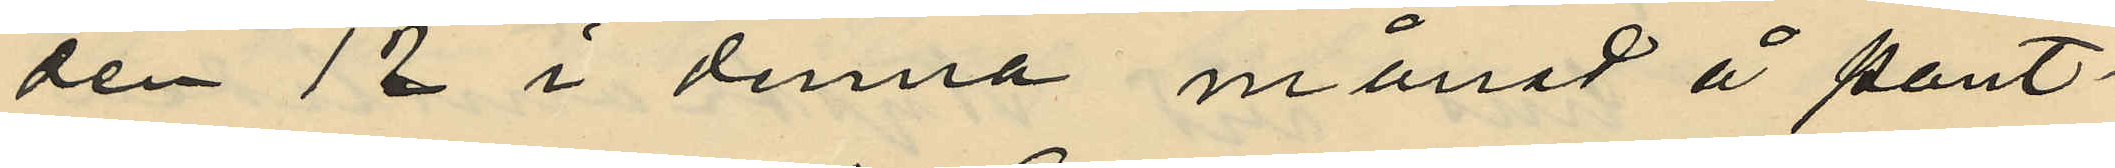den 12 i denna månad å pant¬
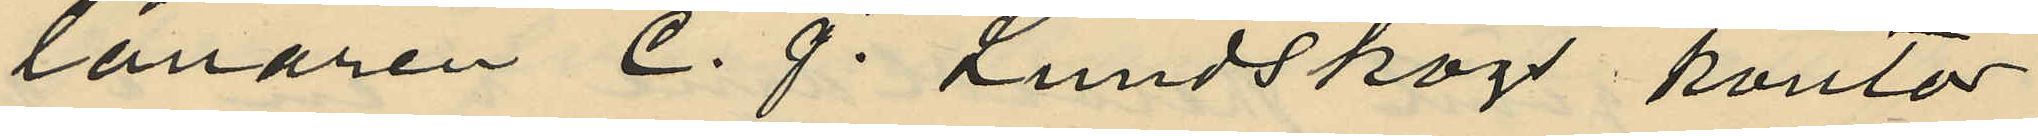lånaren C. J. Lundskogs kontor
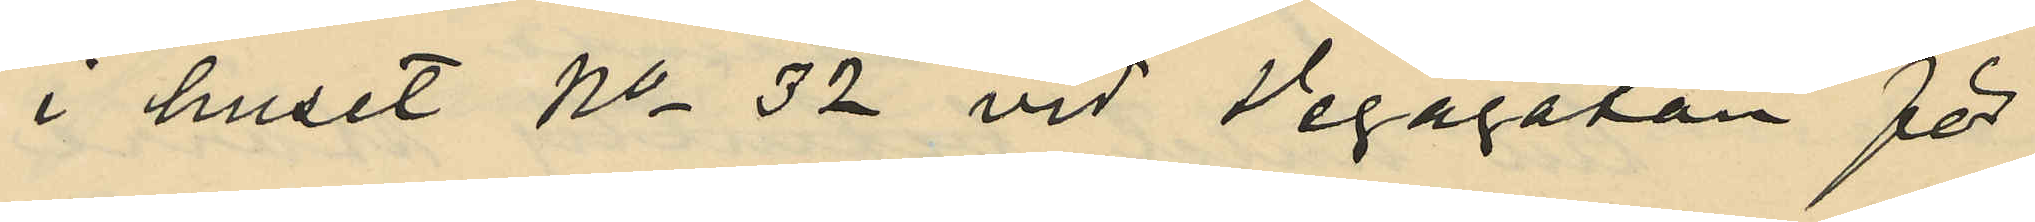i huset No 32 vid Vegagatan för
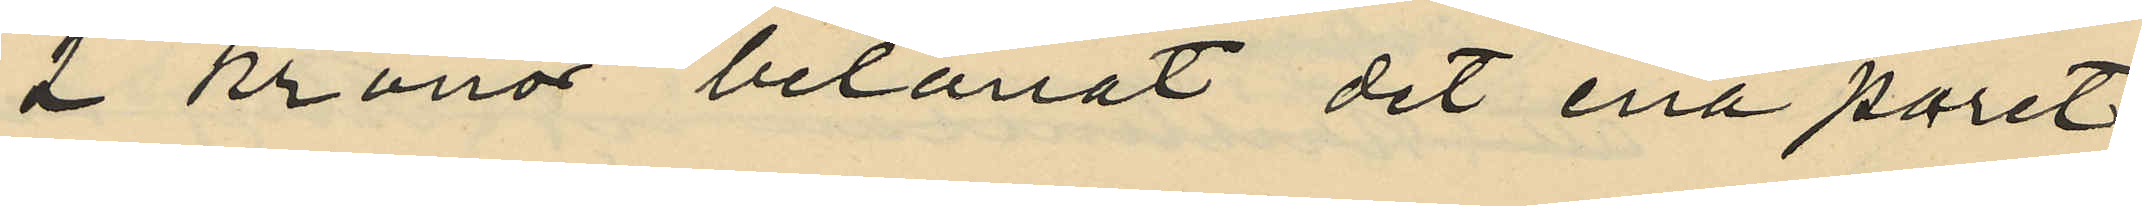2 kronor belånat det ena paret
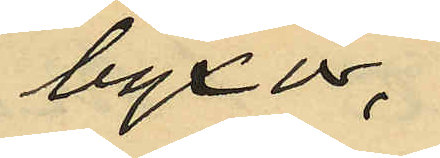byxor,
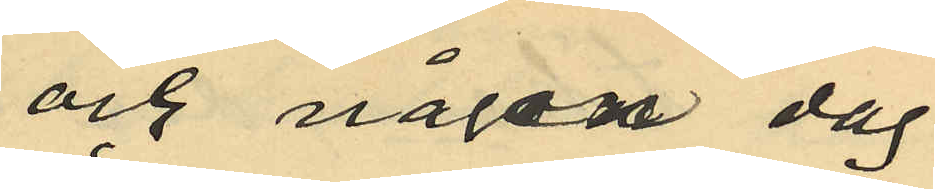och någon dag
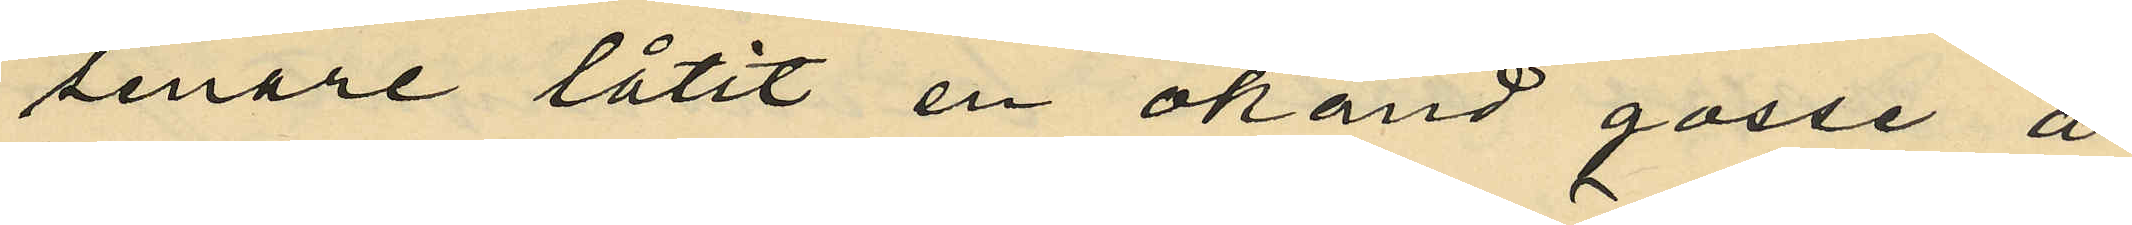senare låtit en okänd gosse å
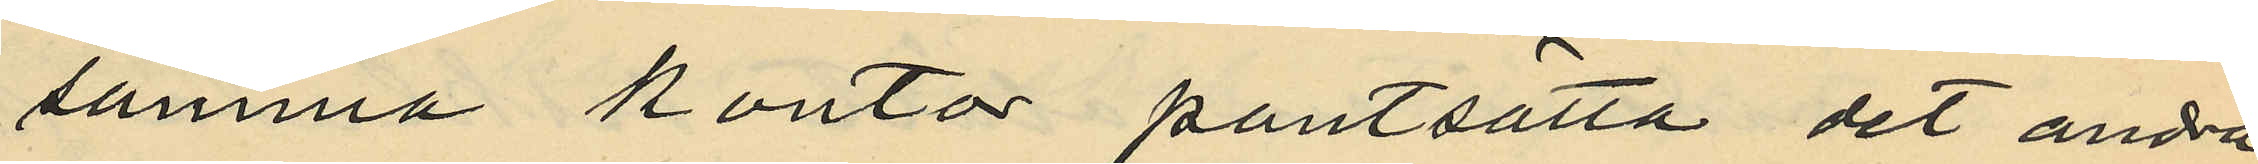samma kontor pantsätta det andra
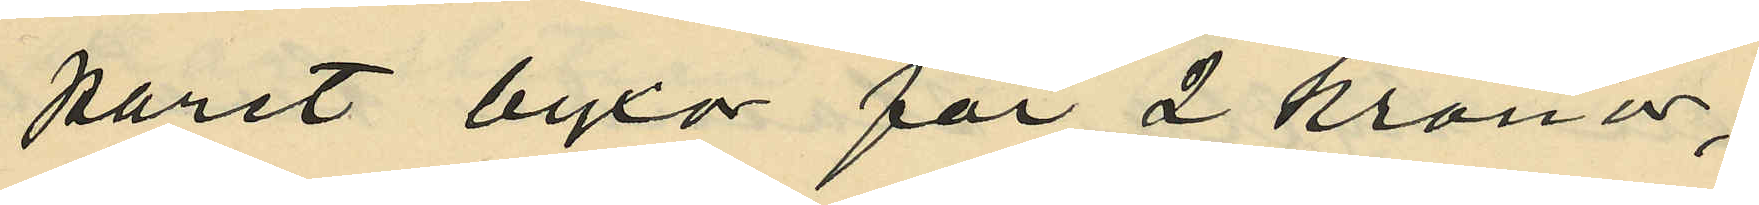paret byxor för 2 kronor;
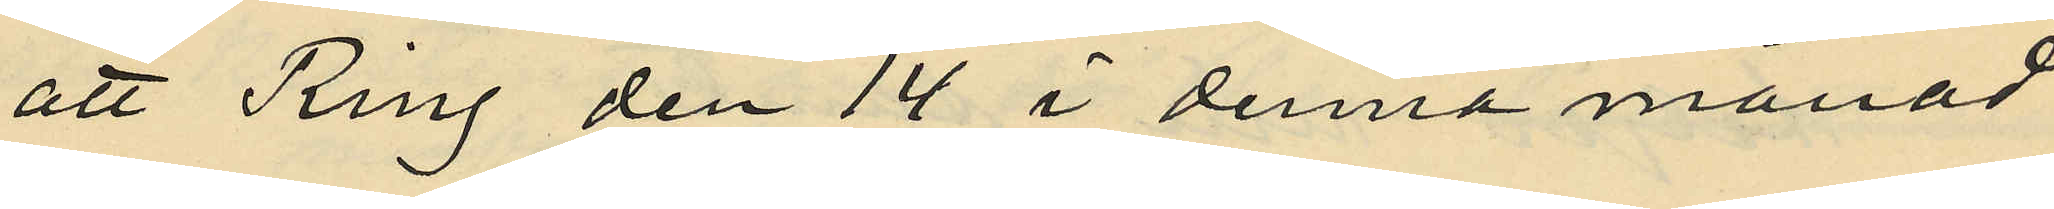att Ring den 14 i denna månad
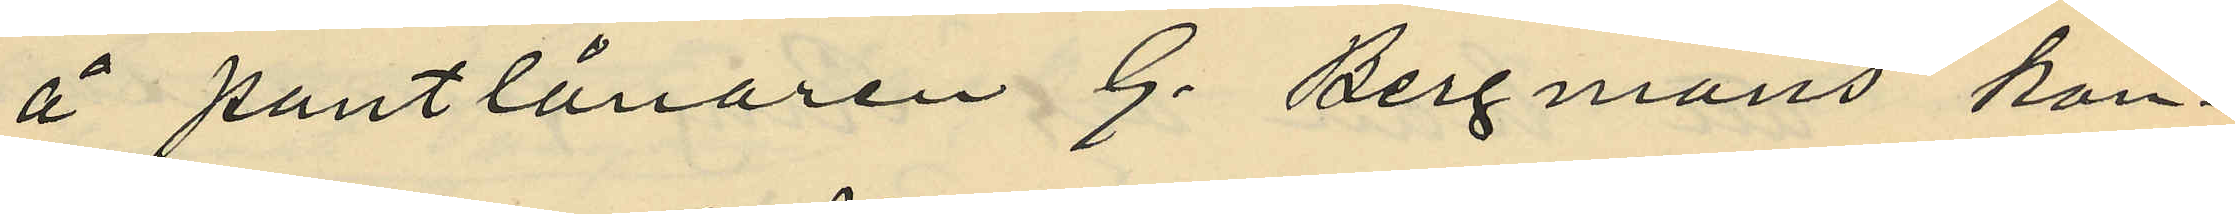å pantlånaren G. Bergmans kon¬
